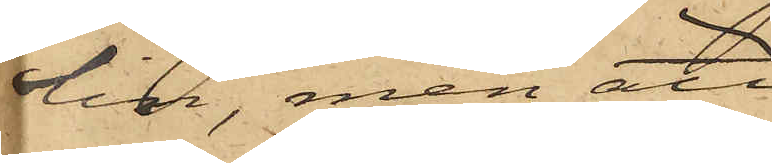lin, men att
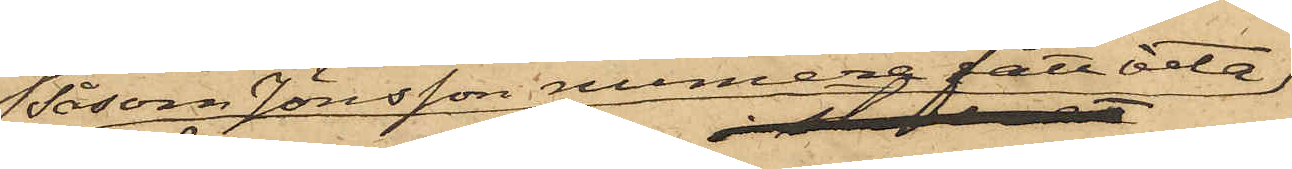såsom Jönsson numera fått veta
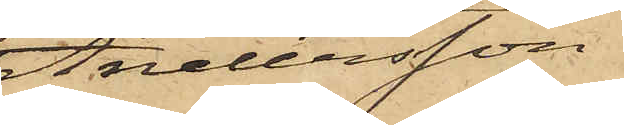Andersson
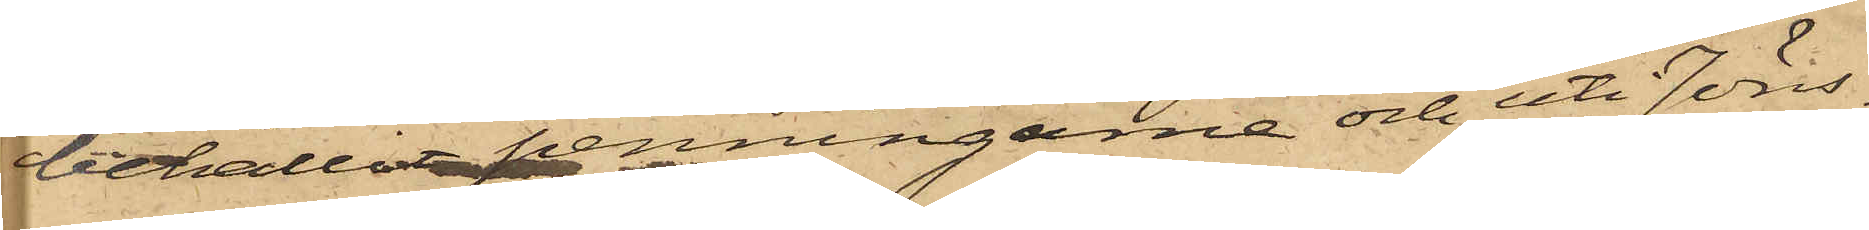behållit penningarne och uti Jöns¬
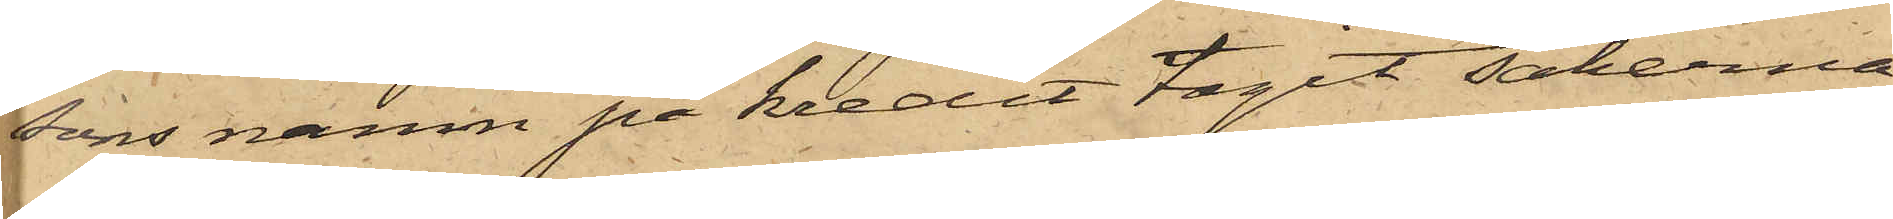sons namn på kredit tagit sakerna
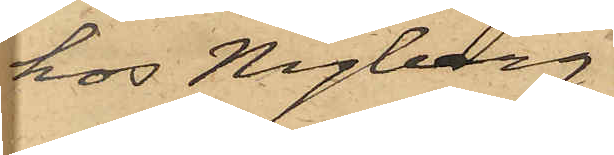hos Nyberg.
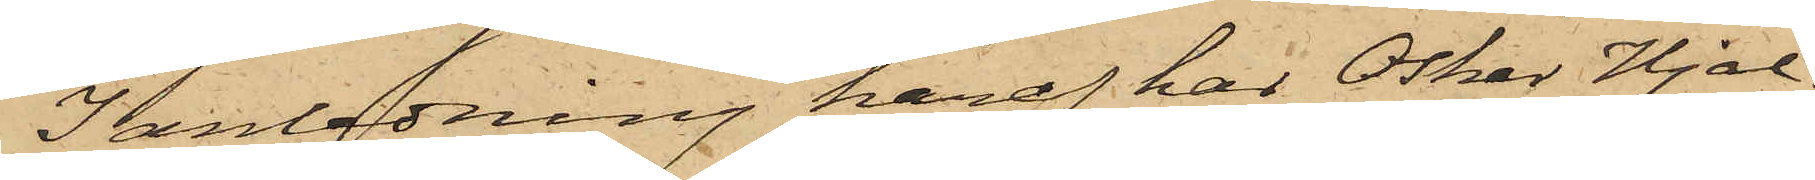I anledning häraf har Oskar Hjal¬
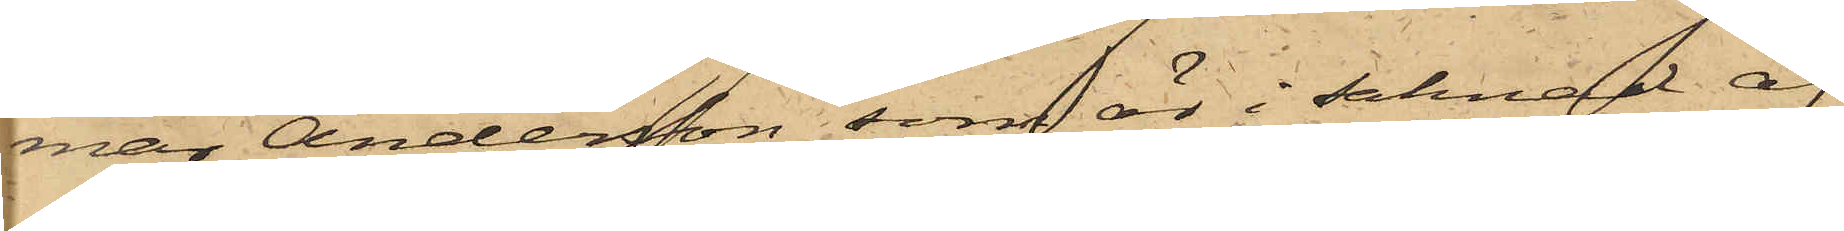mar Andersson, som är i saknad af
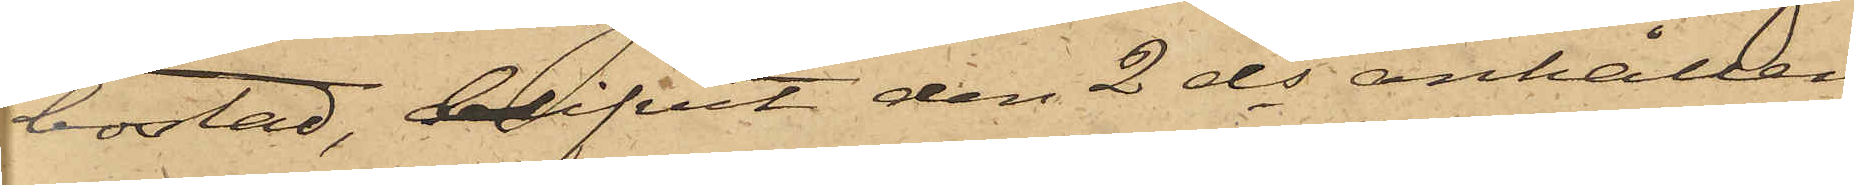bostad, blifvit den 2 ds anhållen
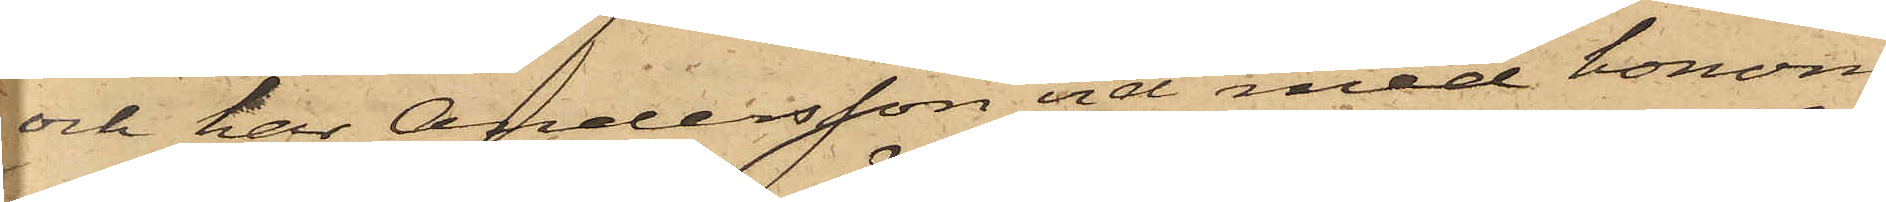och har Andersson vid med honom
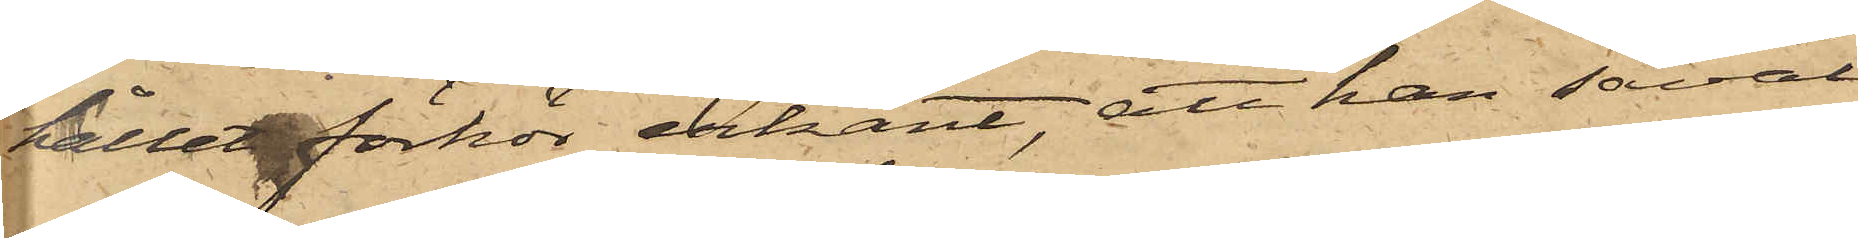hållet förhör erkänt, att han såväl
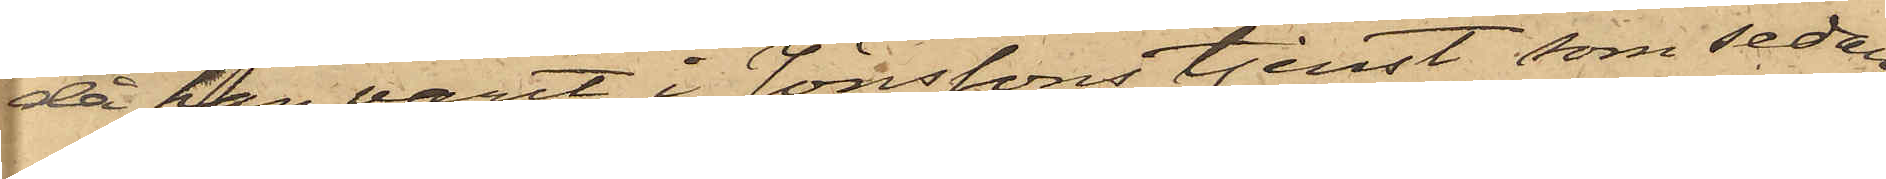då han varit i Jönssons tjenst, som sedan
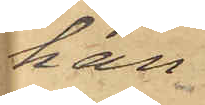han
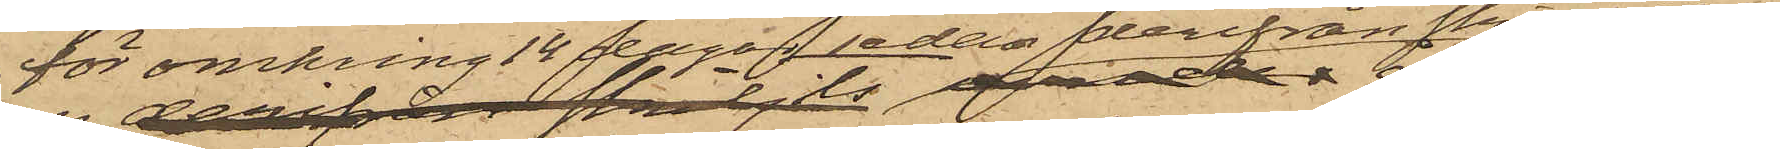för omkring 14 dagar sedan derifrån skiljdes
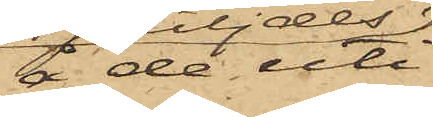å de uti
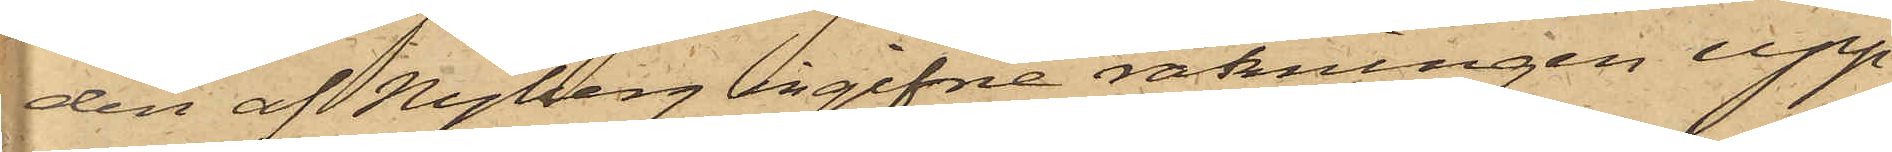den af Nyberg ingifne räkningen upp¬
